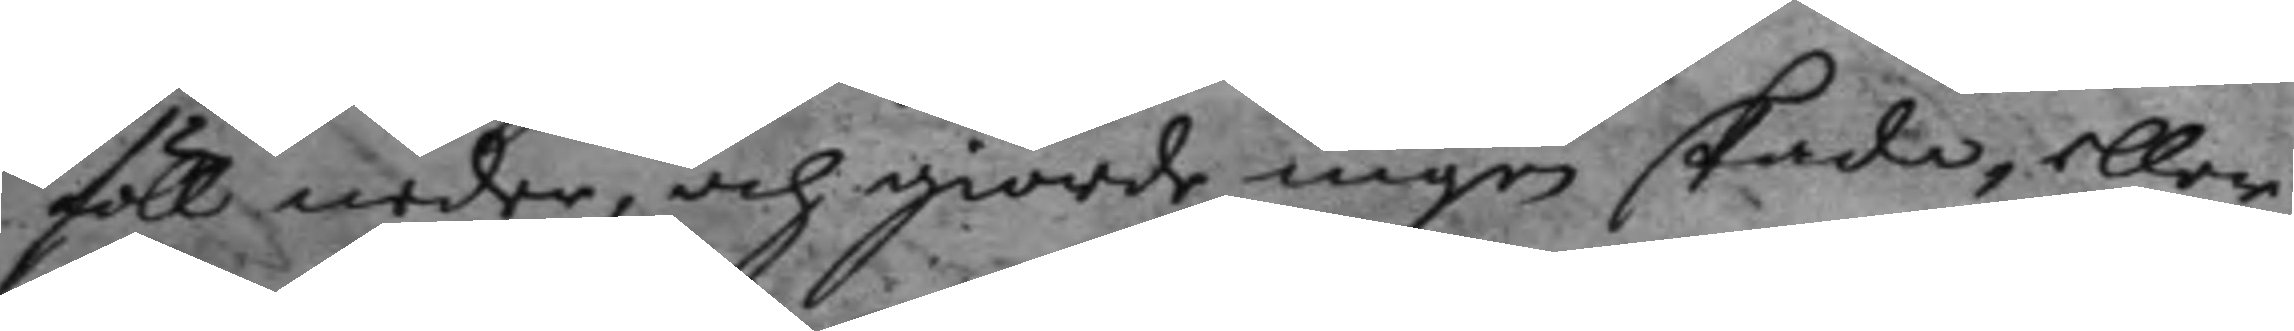föll neder, och giorde ingen skada, eller
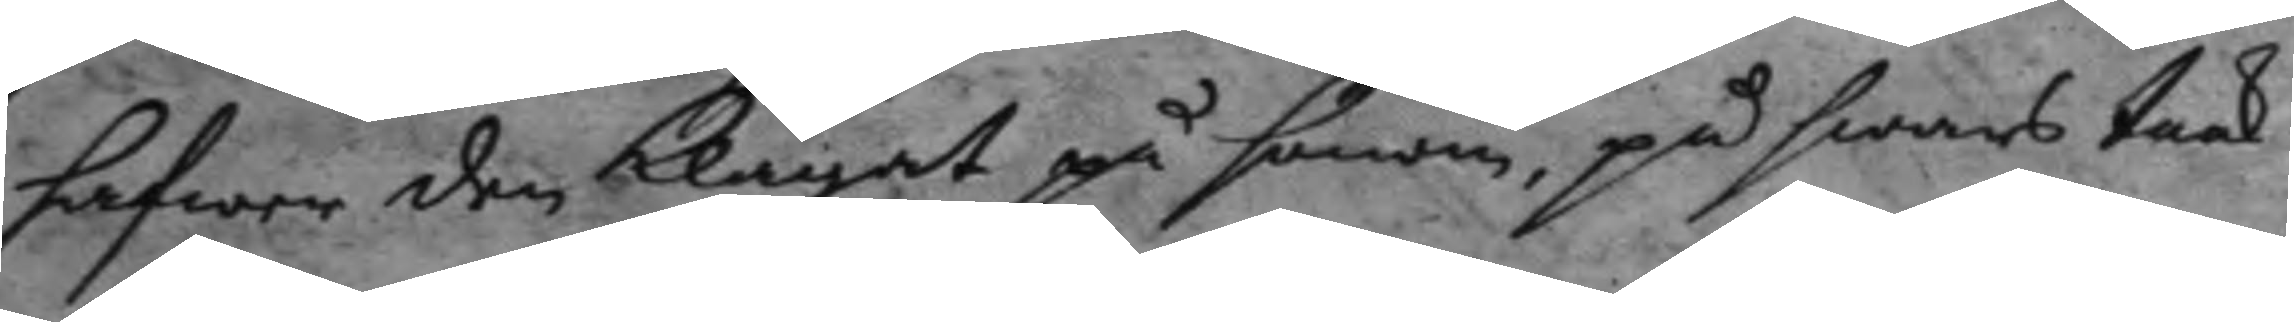hafwer den klagat på honom, på hwars taak
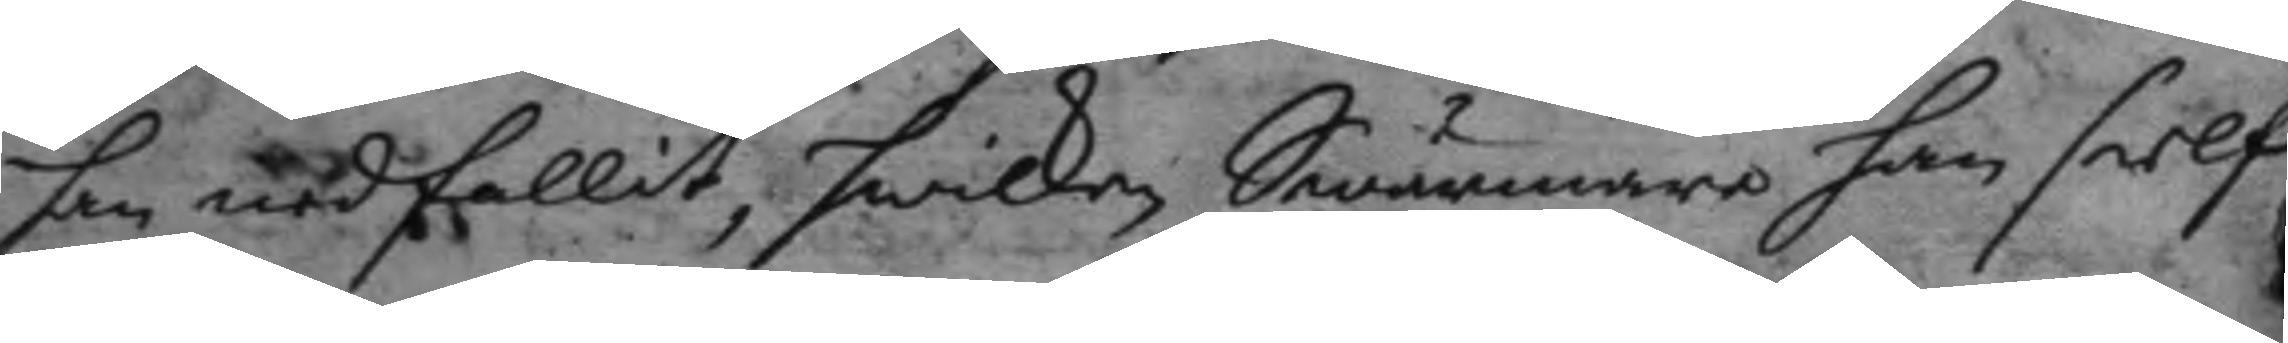han nedfallit, hwilken Swärmare han sielf
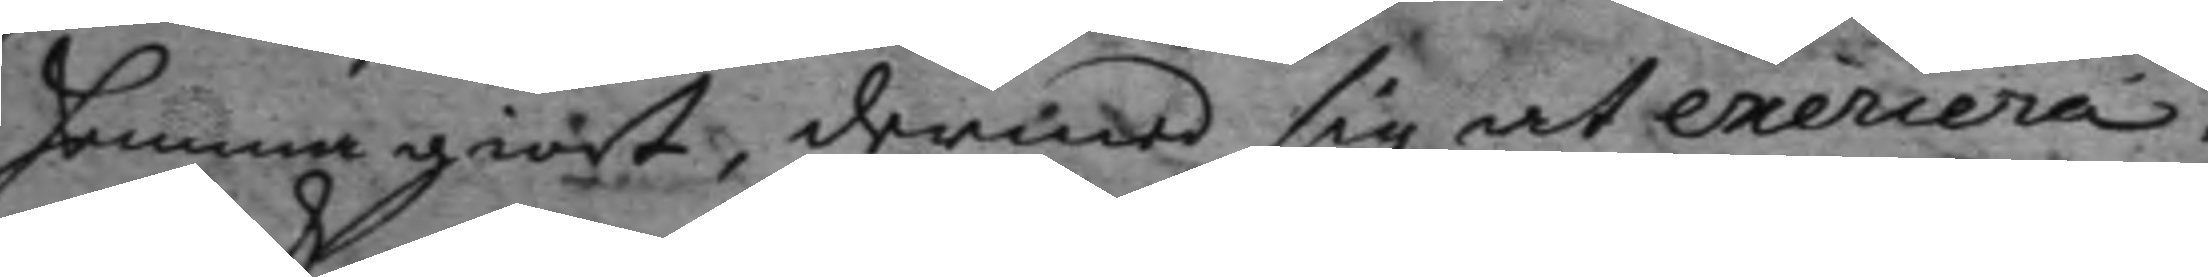hemma giort, dermed sig at exercera.
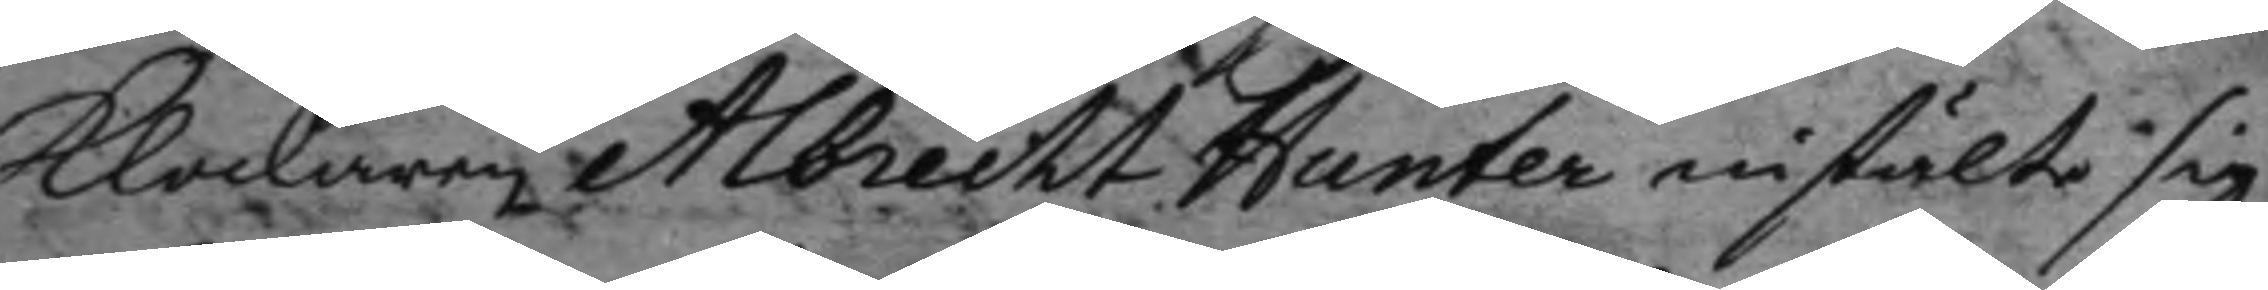Klockaren Albrecht Hunter instälte sig,
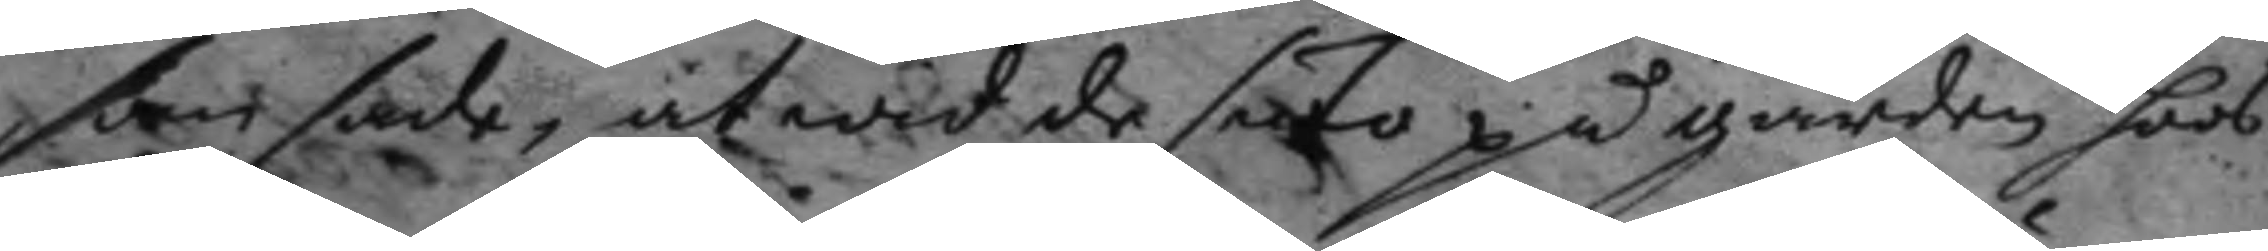som sade, at wid de suto på gården hoos
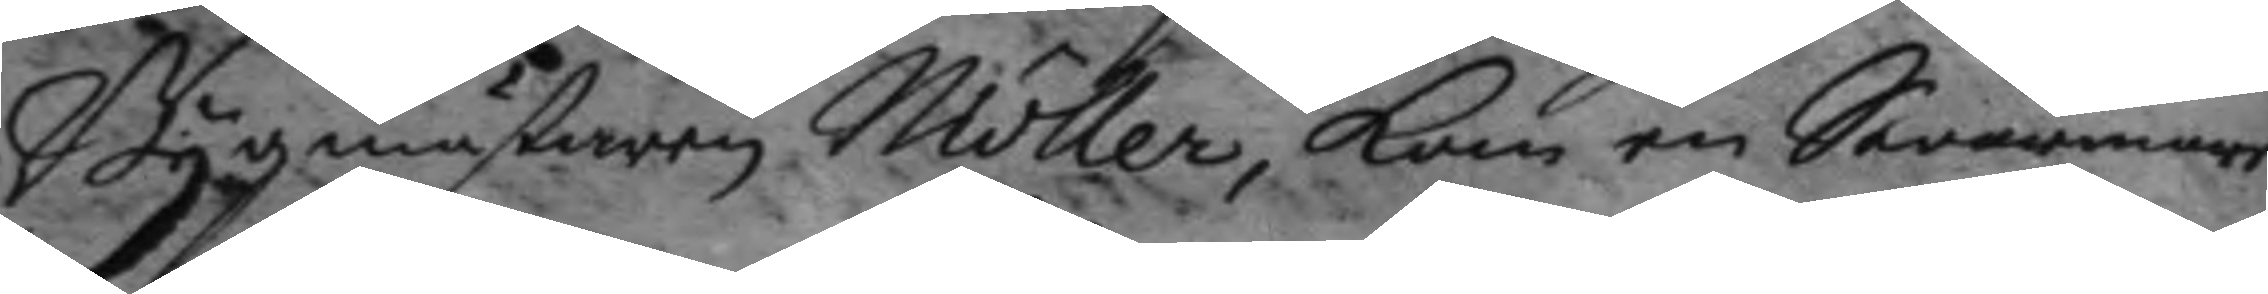Bygmästaren Möller, kom en Swärmare
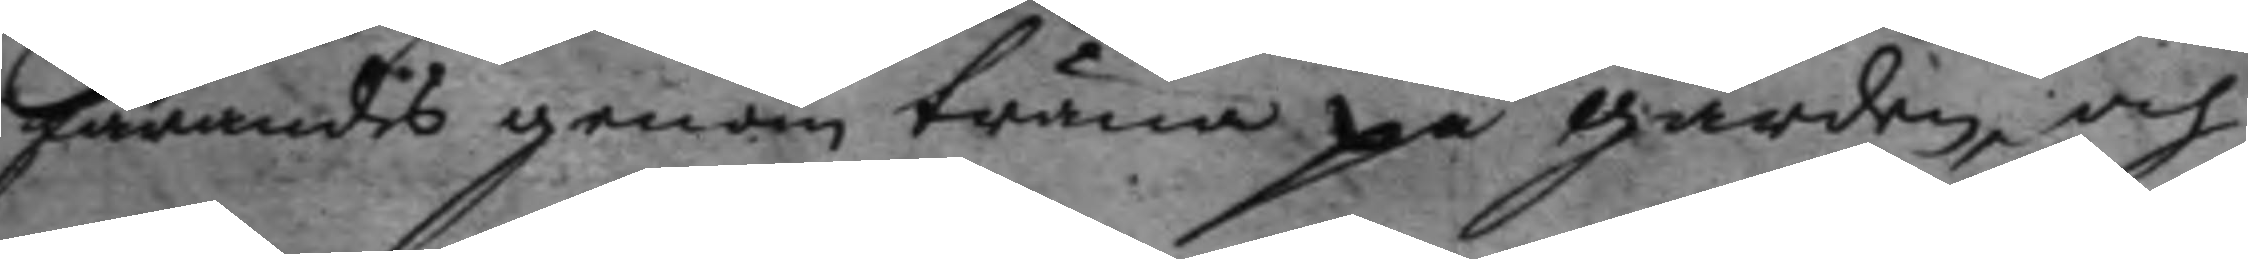farandes genom träna på gården, och
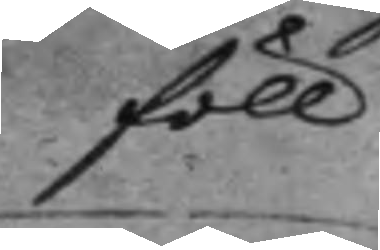föll
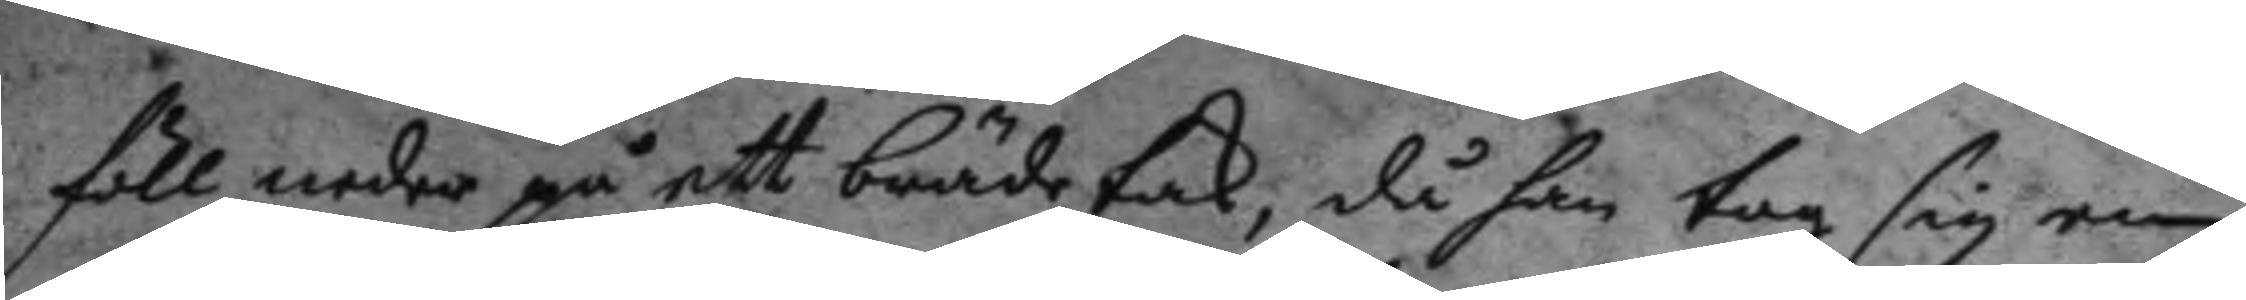föll neder på ett brädetak, då han tog sig enn
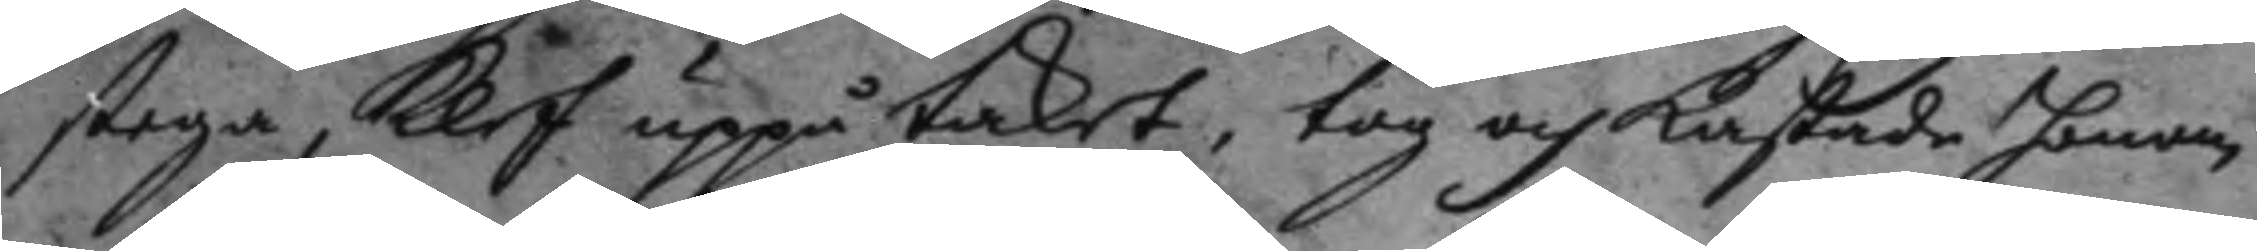stega, klef uppå taket, tog och kastade honom
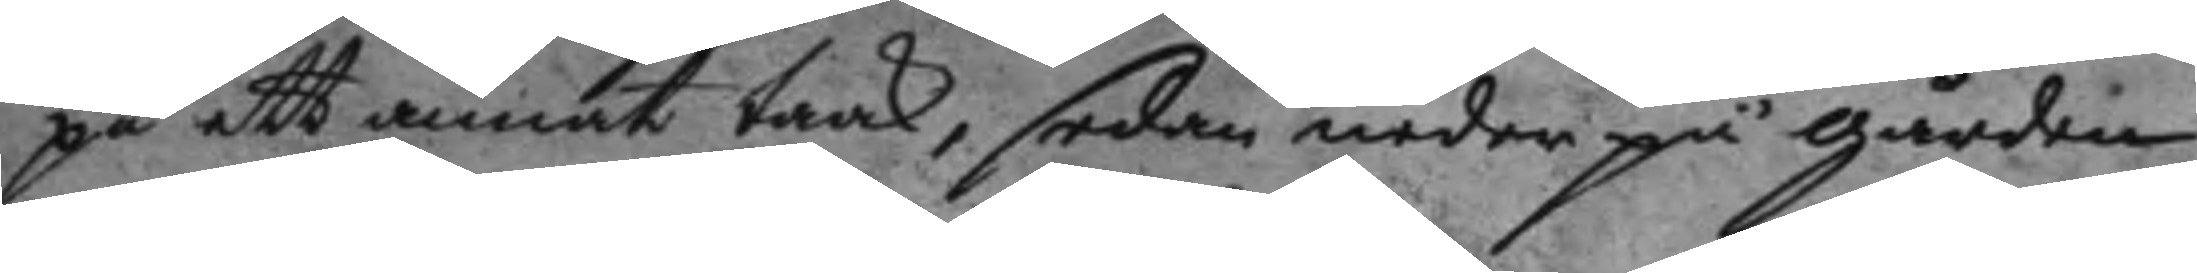på ett annat taak, sedan neder på gården,
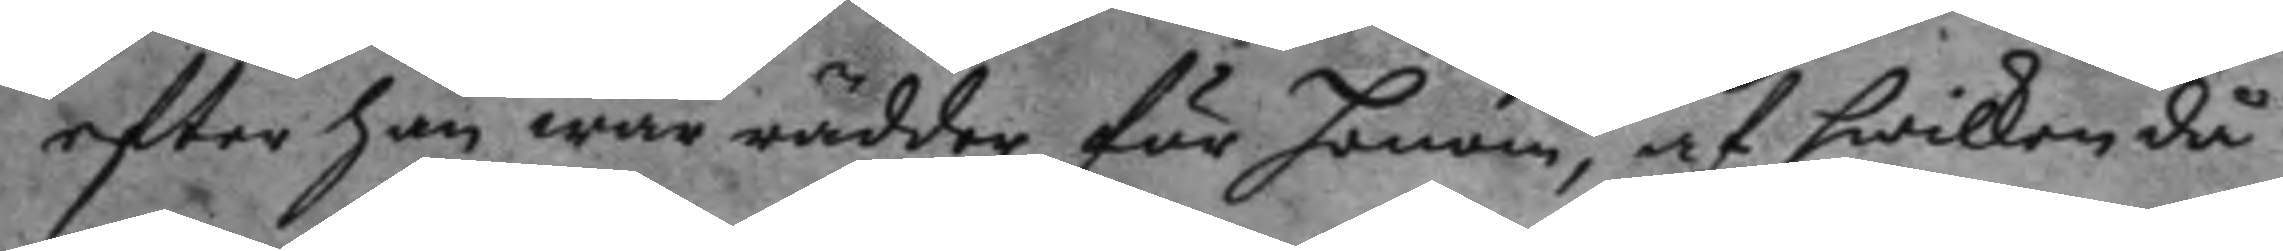efter han war rädder för honom, af hwilken då
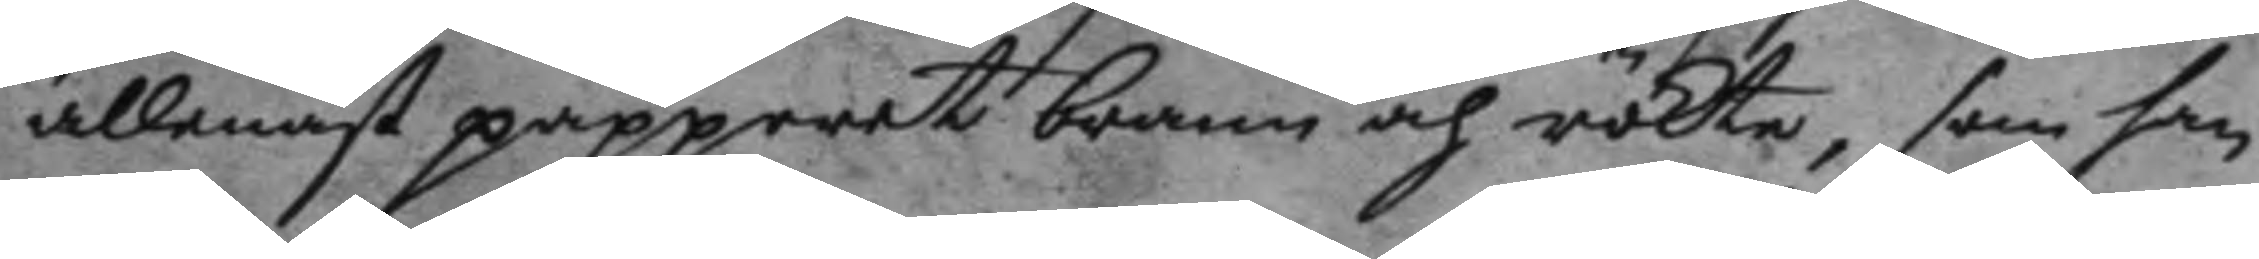allenast papperet brann och rökte, som han
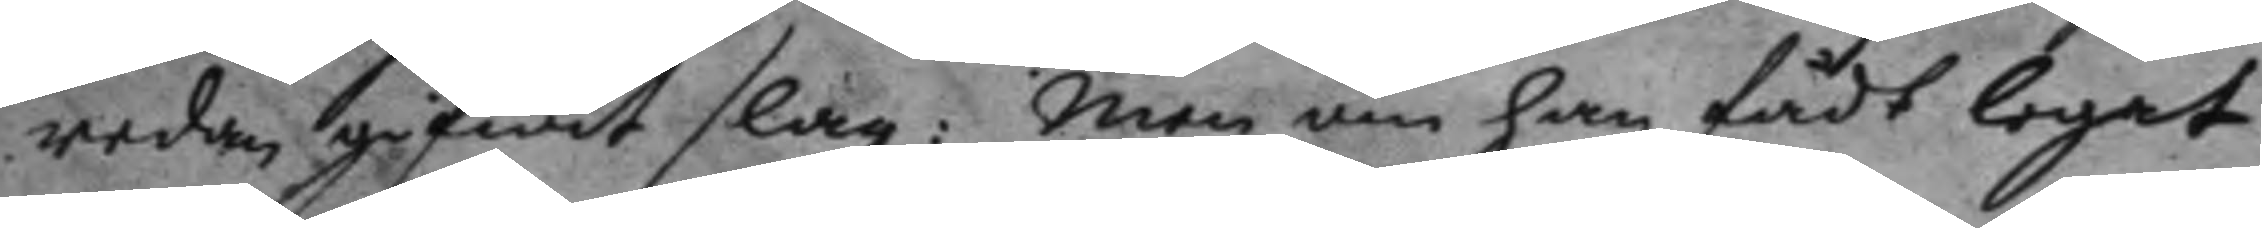redan gifwit slag: men om han fådt legat
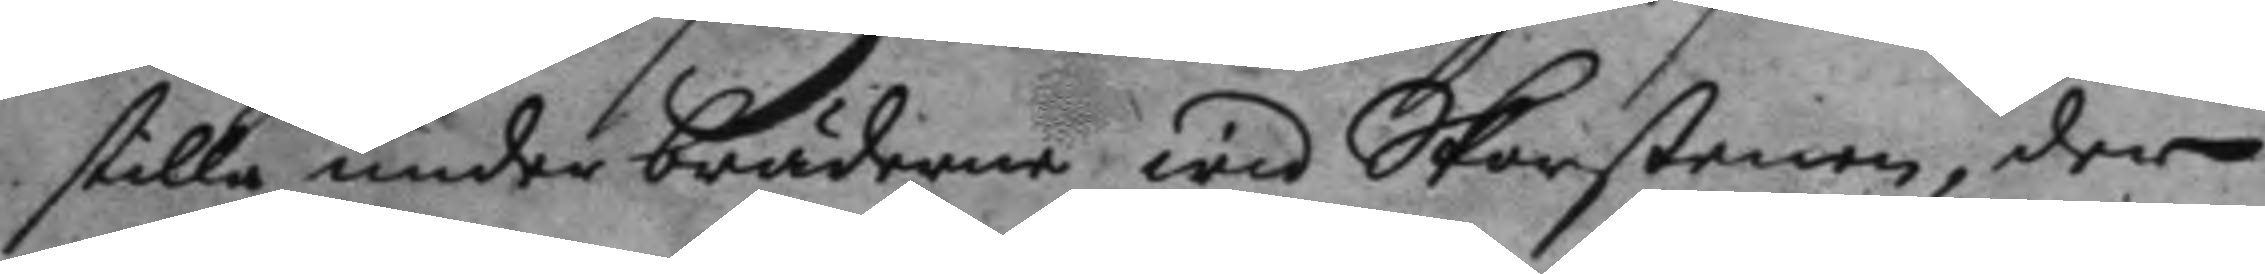stilla under bräderne wid Skorstenen, der
